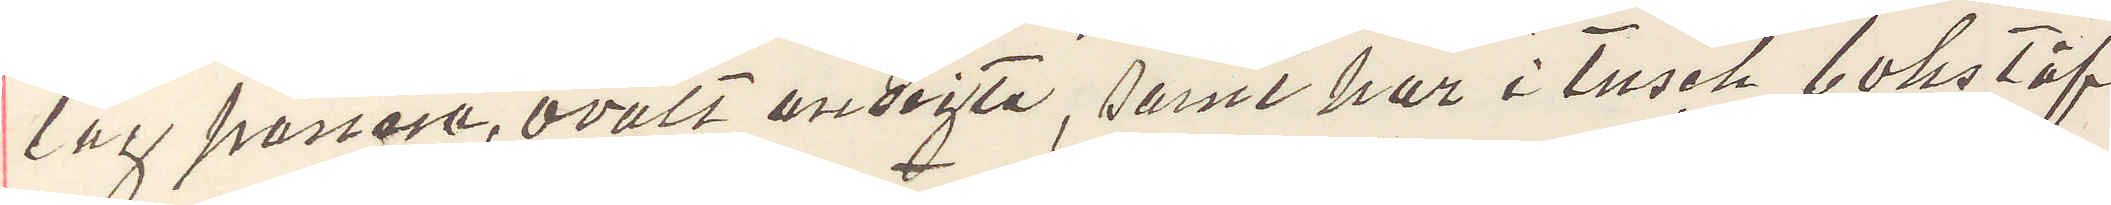låg panna, ovalt ansigte, samt har i tusch bokstäf¬
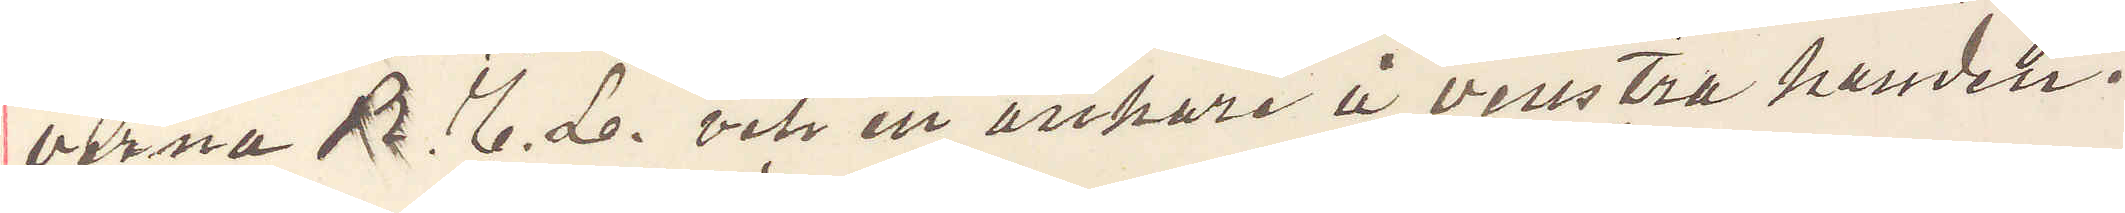verna B. E. L. och ett ankare å venstra handen.
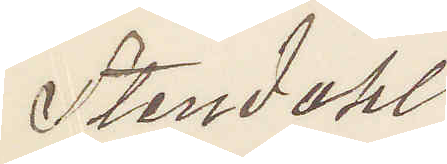Stendahl
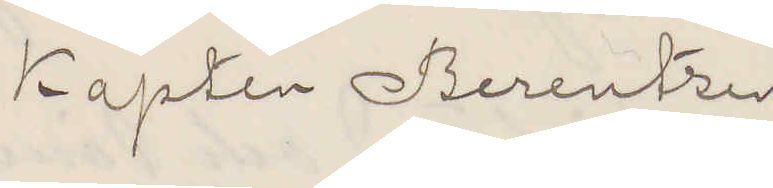Kapten Berentzen
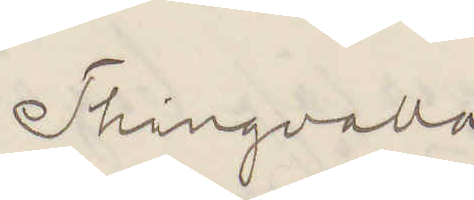Thingvalla
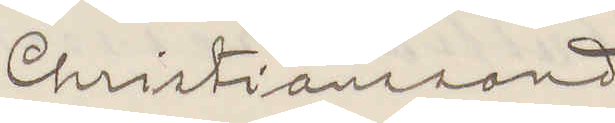Christiansand
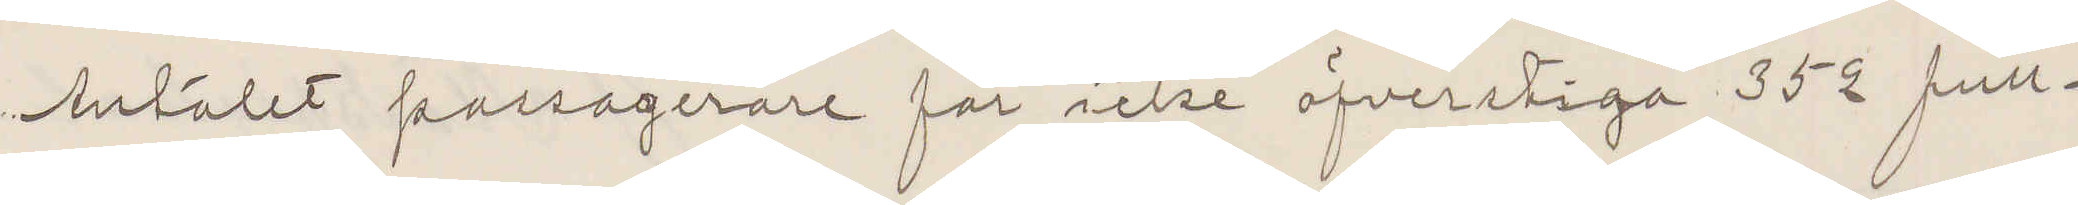Antalet passagerare får icke öfverstiga 352 full¬
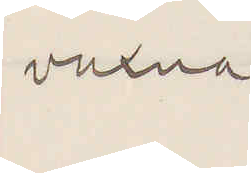vuxna
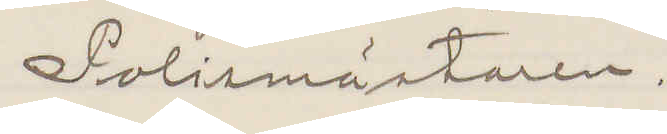Polismästaren.
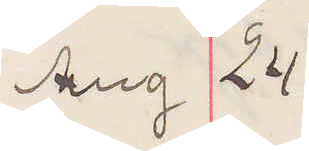Aug 24
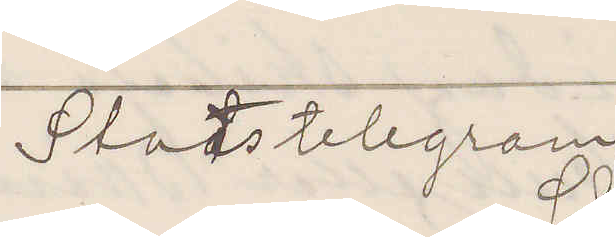Statstelegram
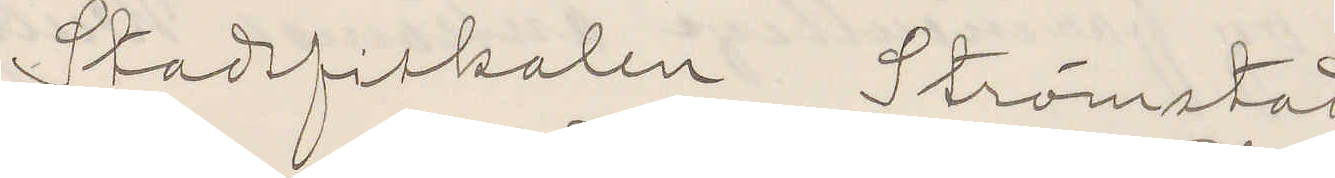Stadsfiskalen Strömstad
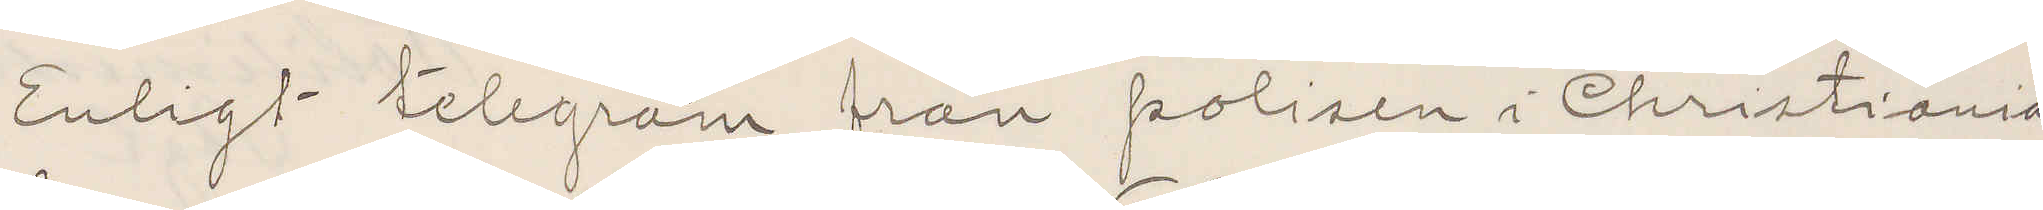Enligt telegram från polisen i Christiania
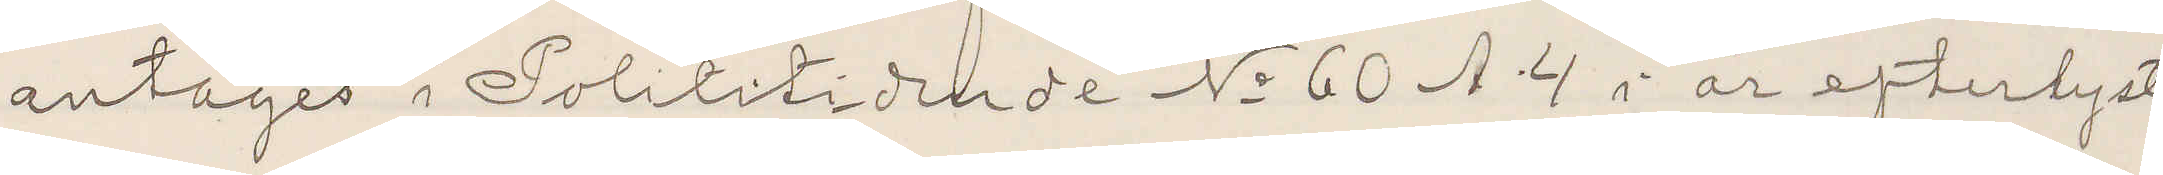antages i Polititidende No 60 A 4 i år efterlyste
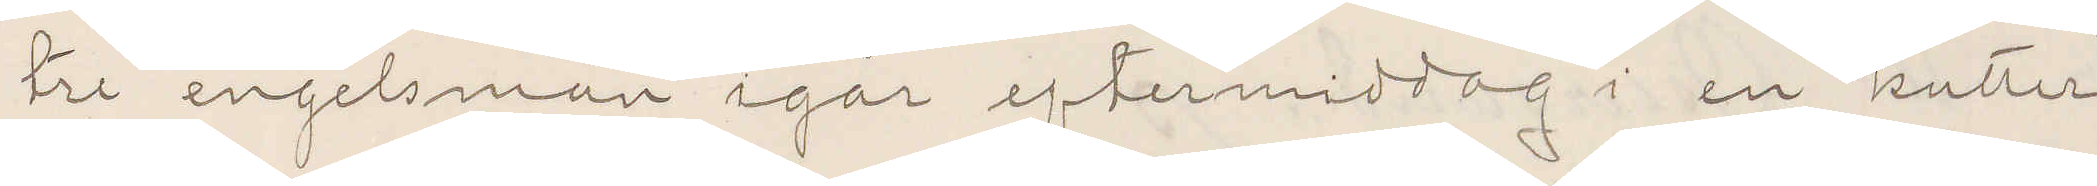tre engelsmän igår eftermiddag i en kutter
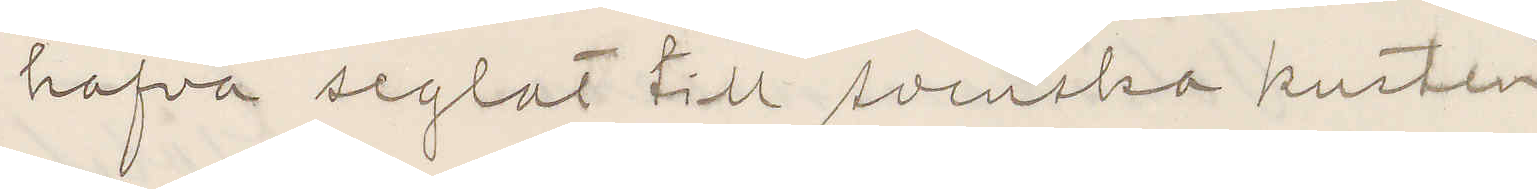hafva seglat till svenska kusten
